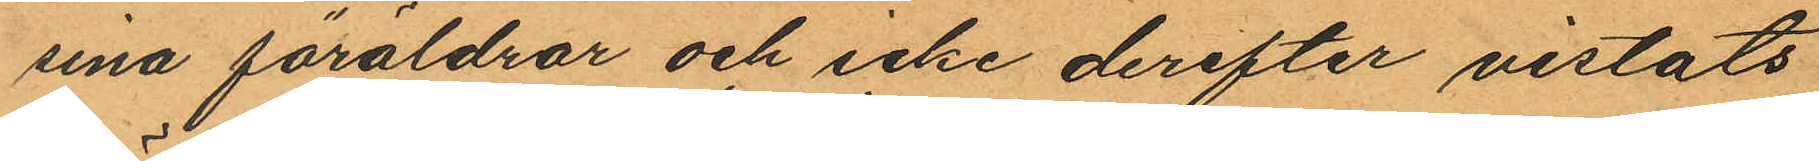sina föräldrar och icke derefter vistats
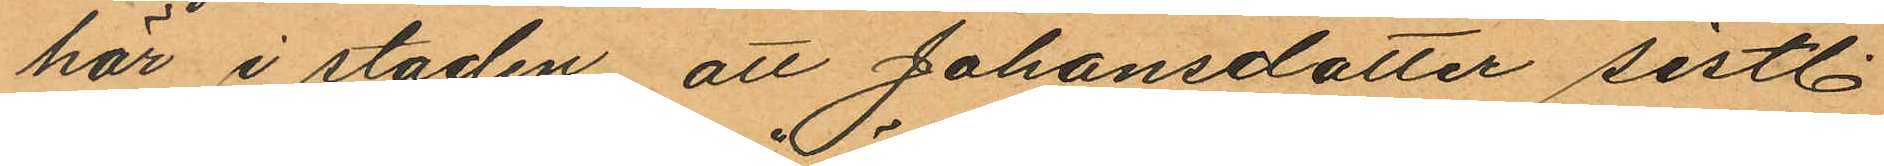här i staden, att Johansdotter sistl.
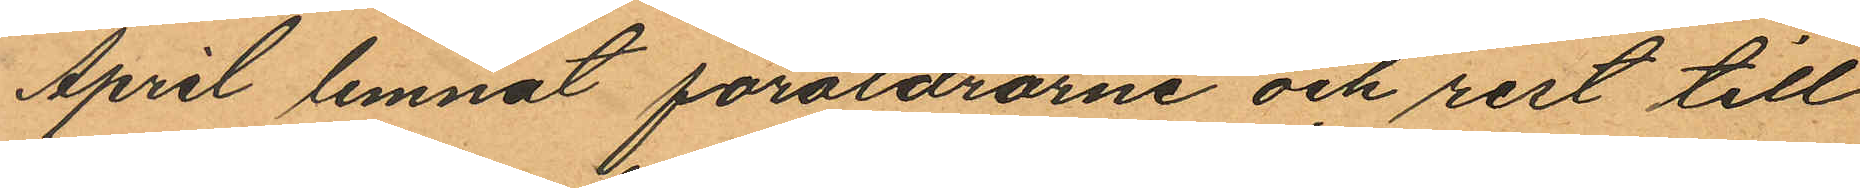April lemnat föräldrarne och rest till
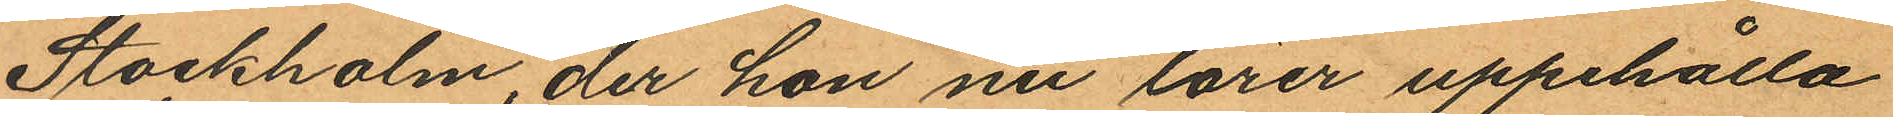Stockholm, der hon nu lärer uppehålla
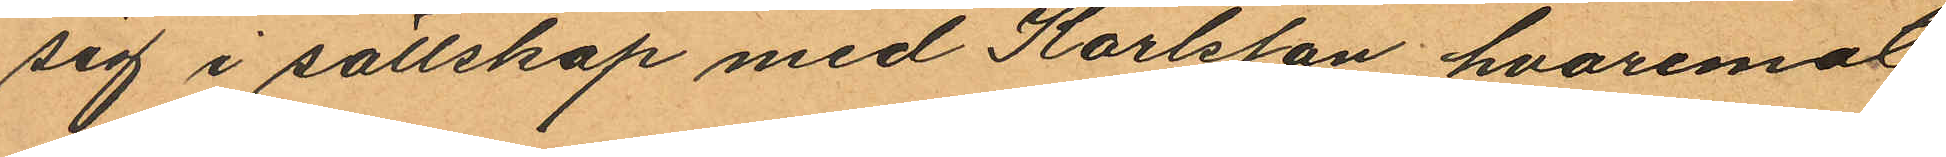sig i sällskap med Karlsson, hvaremot
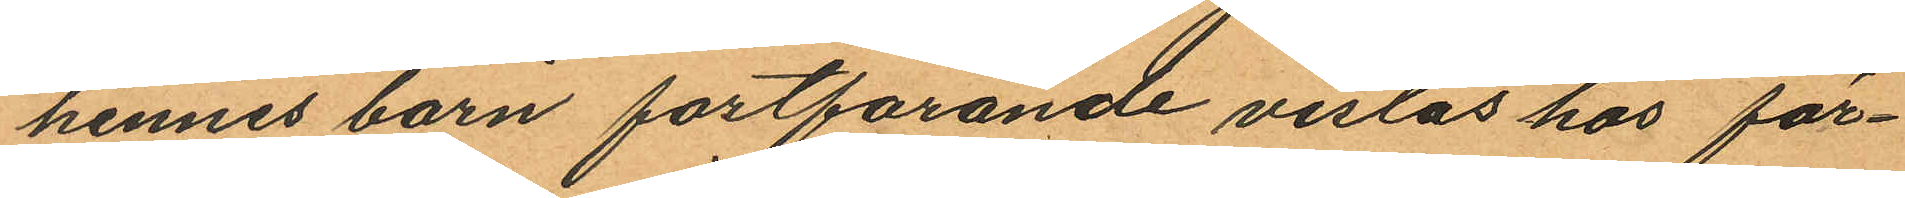hennes barn fortfarande vistas hos för¬
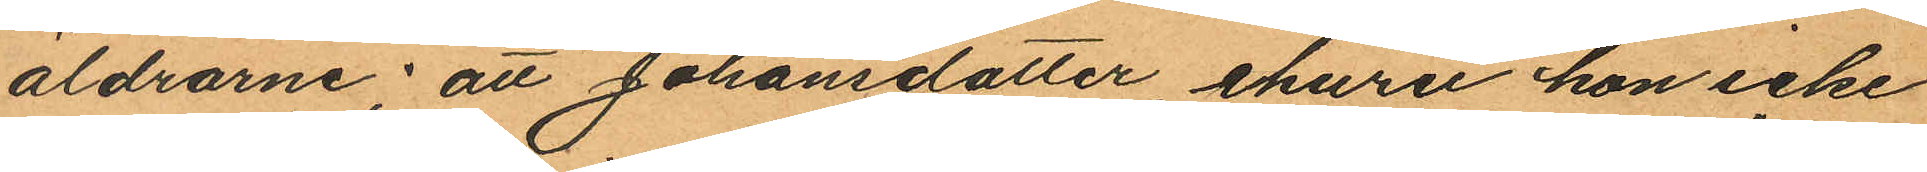äldrarne; att Johansdotter ehuru hon icke
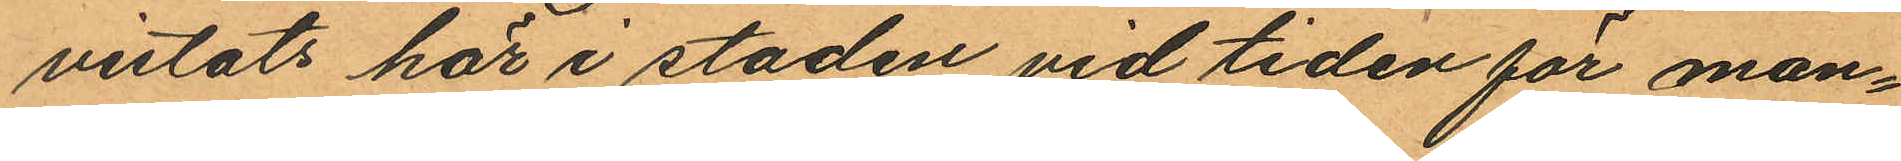vistats här i staden vid tiden för man¬
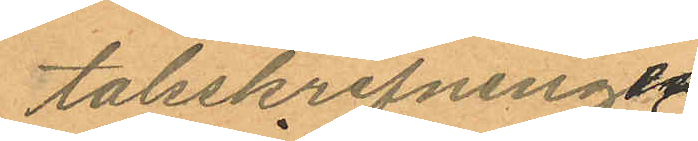talsskrifningen
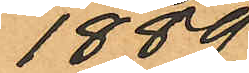1889
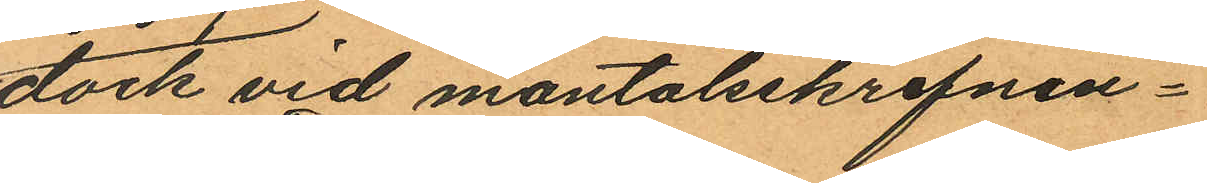dock vid mantalsskrifnin¬
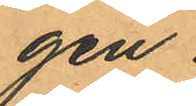gen
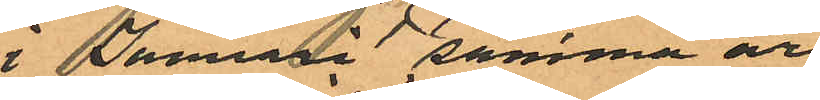i Januari samma år
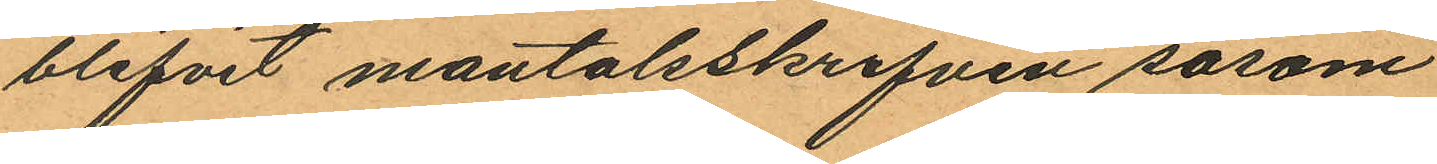blifvit mantalsskrifven såsom
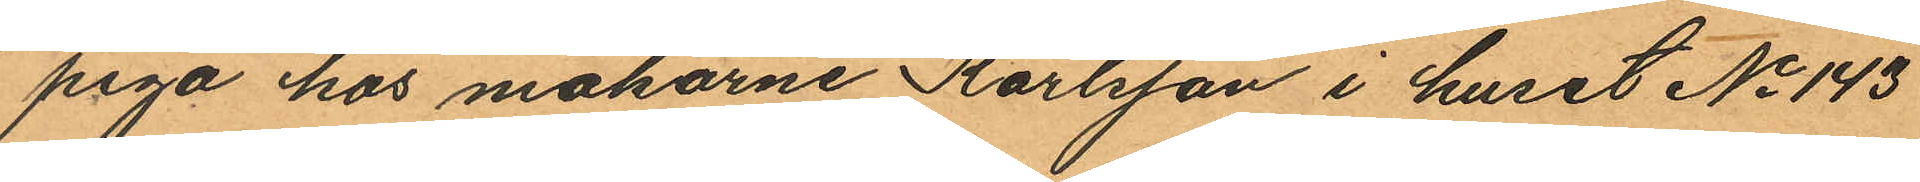piga hos makarne Karlsson i huset No 143
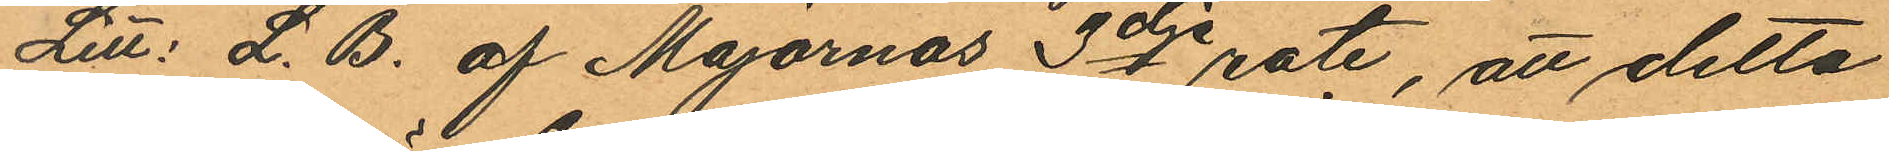Litt: L. B. af Majornas 3dje rote, att detta
